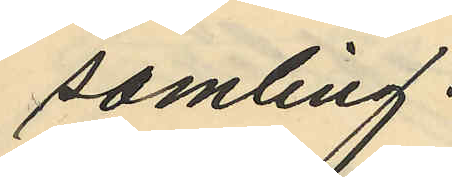samling.
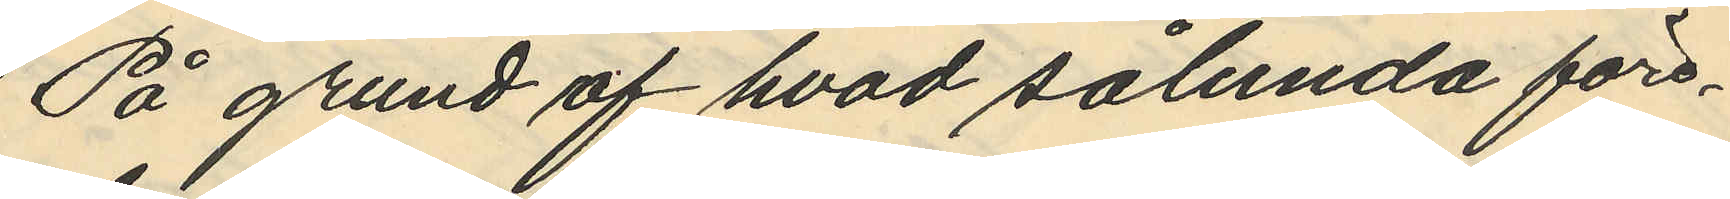På grund af hvad sålunda före¬
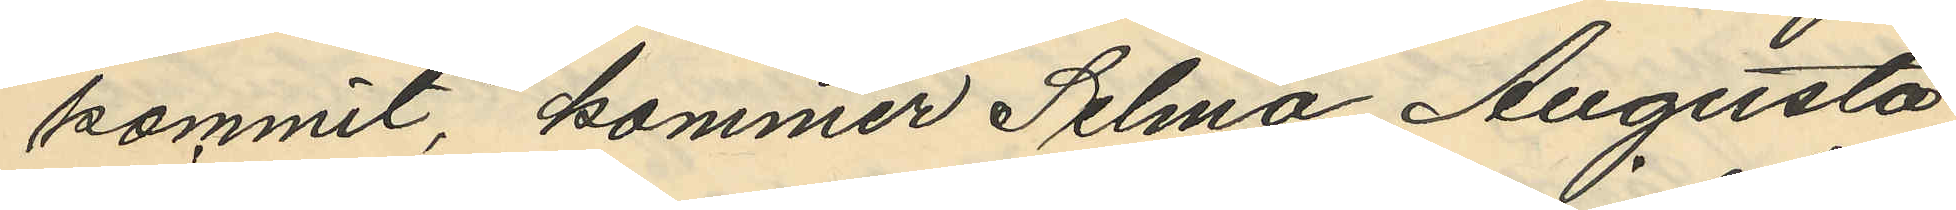kommit, kommer Selma Augusta
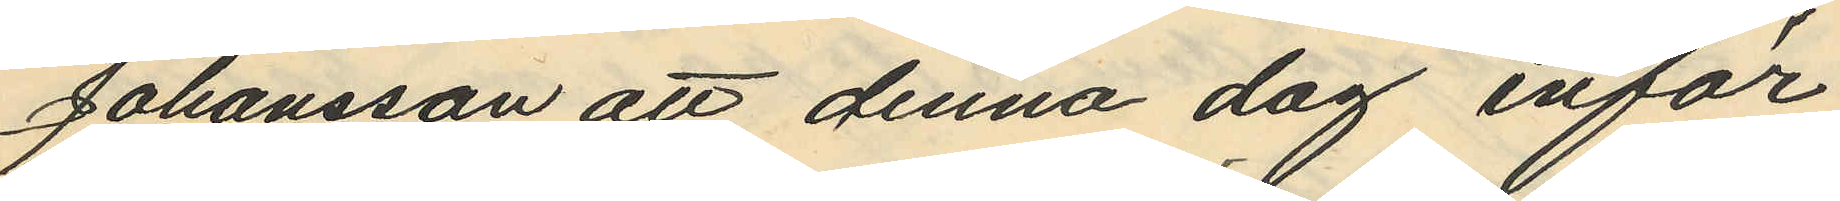Johansson att denna dag inför
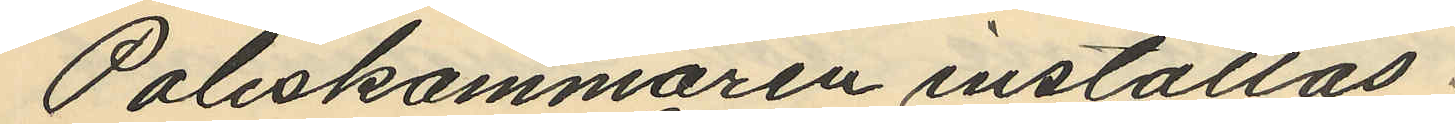Poliskammaren inställas.
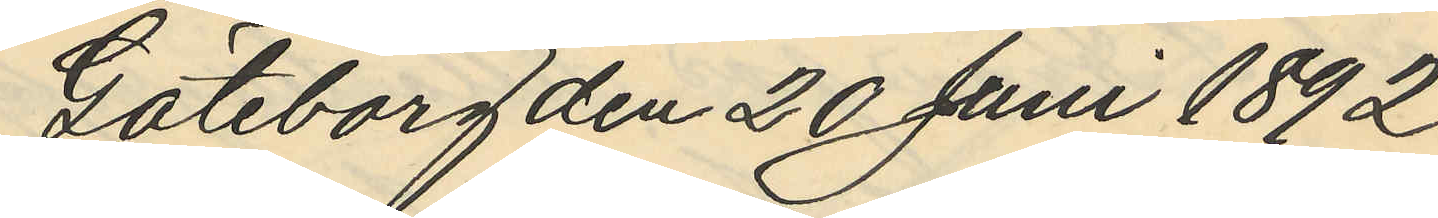Göteborg den 20 Juni 1892
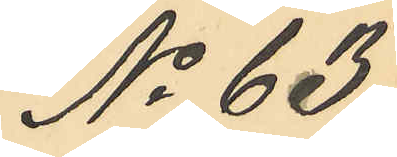No 63.
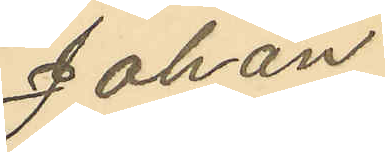Johan
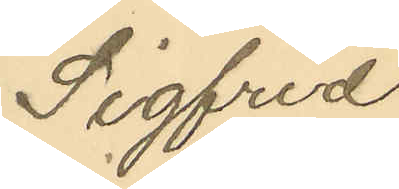Sigfrid
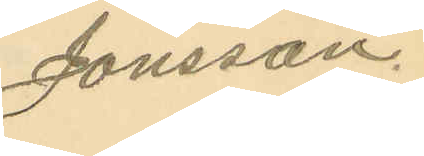Jonsson.
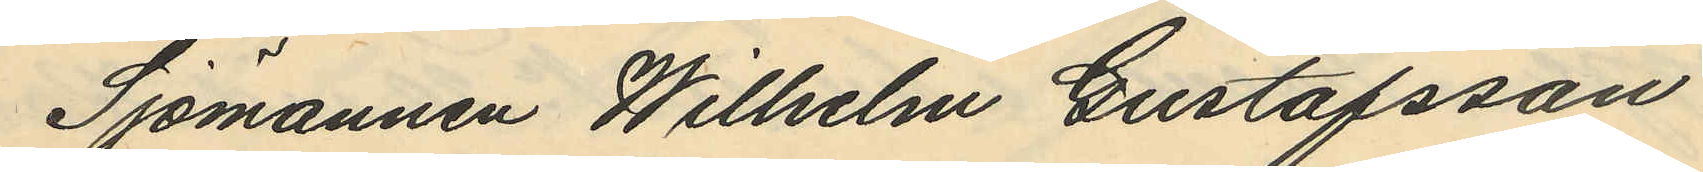Sjömannen Wilhelm Gustafsson
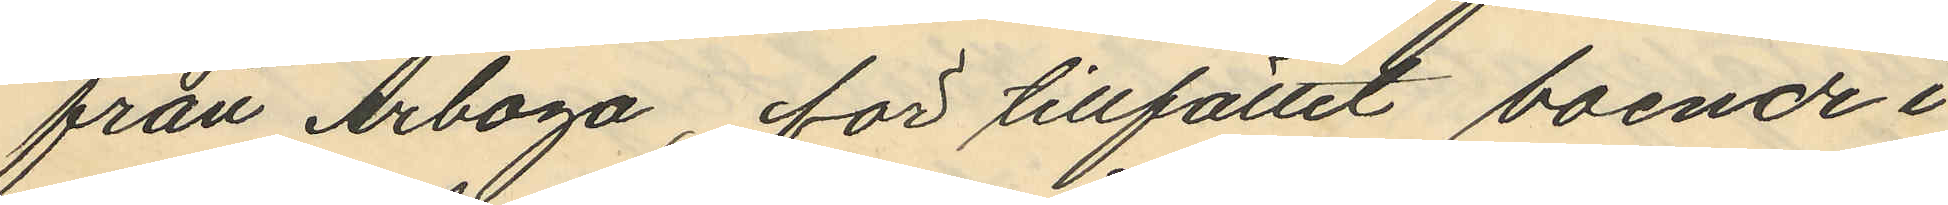från Arboga, för tillfället boende i
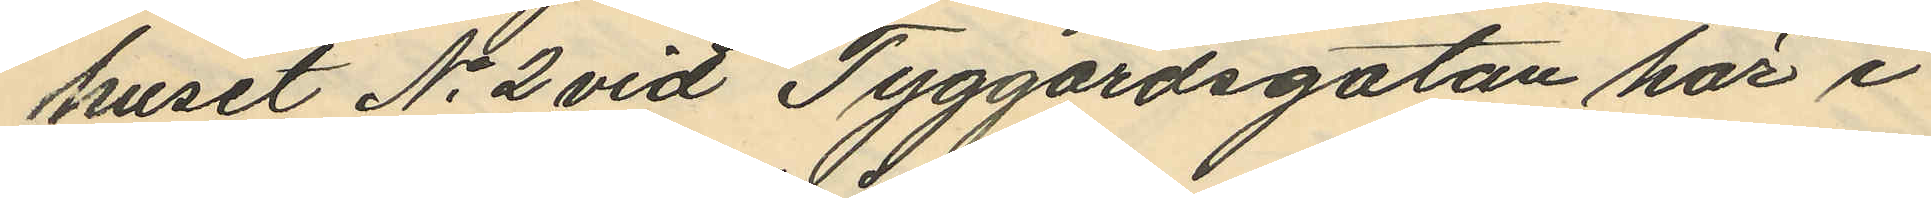huset No 2 vid Tyggårdsgatan här i
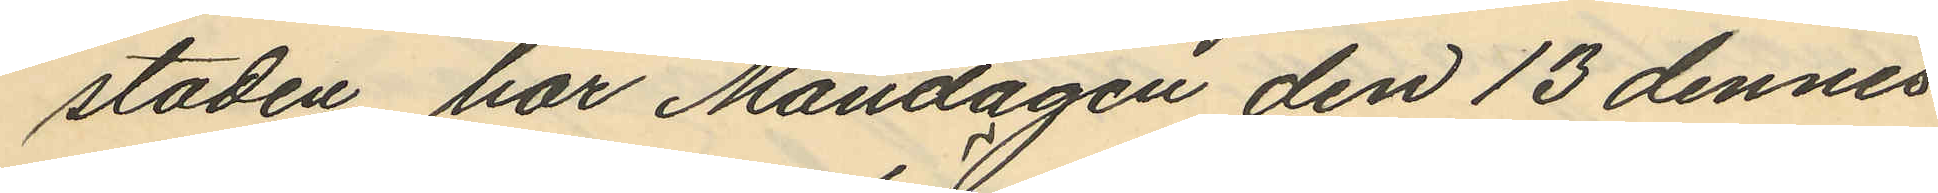staden har Måndagen den 13 dennes
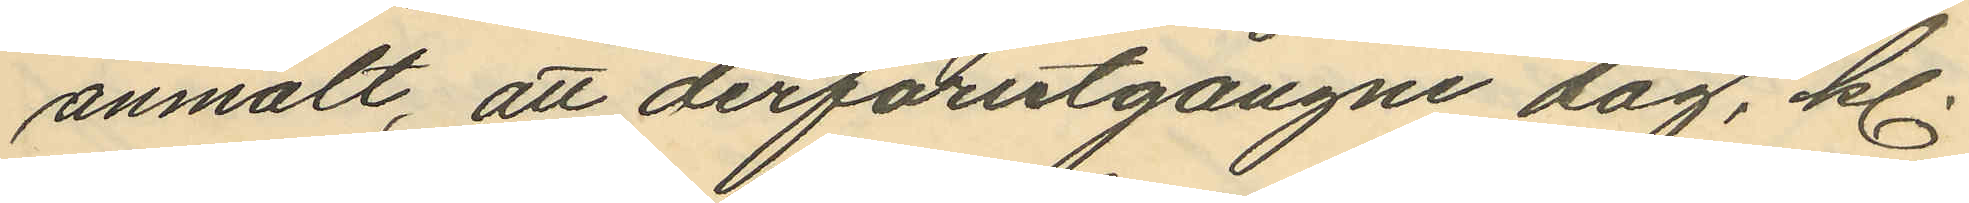anmält, att derförutgångne dag, kl.
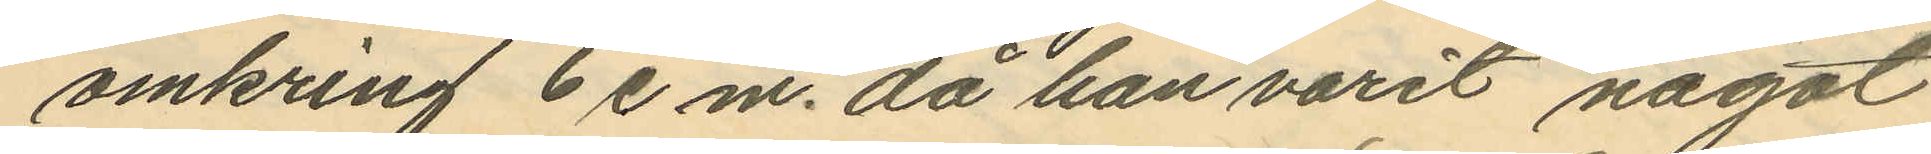omkring 6 e.m. då han varit något
